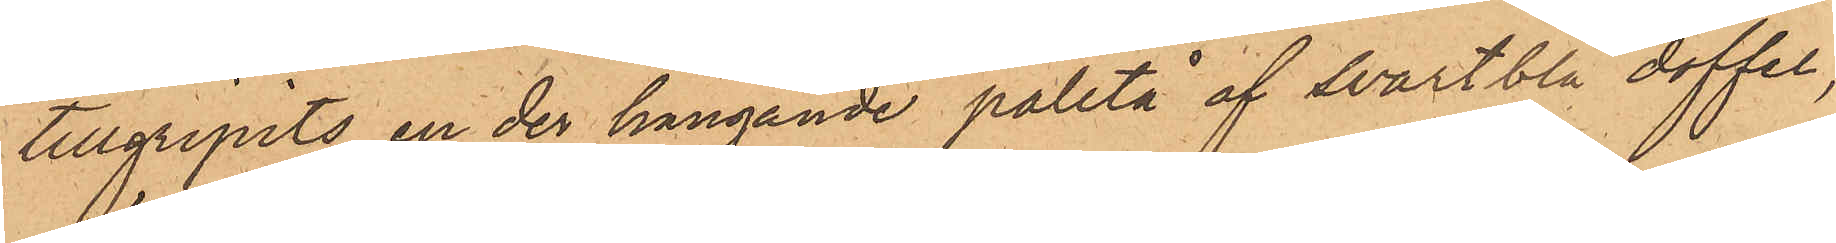tillgripits en der hängande paletå af svartblå doffel,
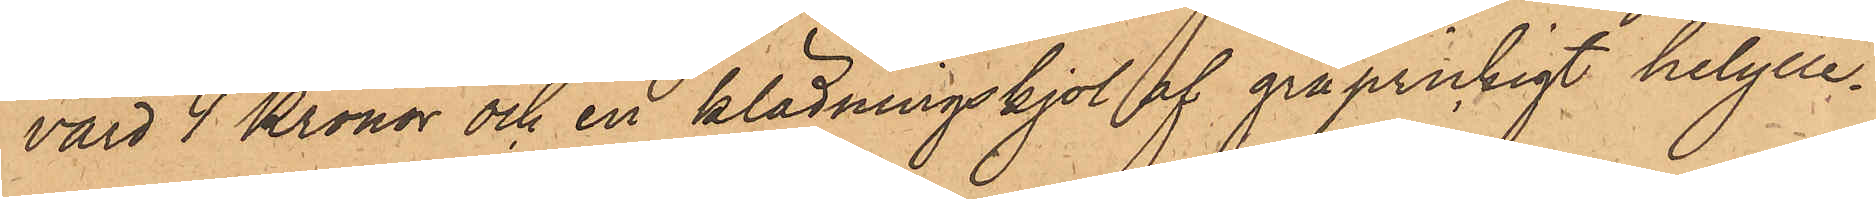värd 4 Kronor och en klädningskjol af gråprickigt helylle¬
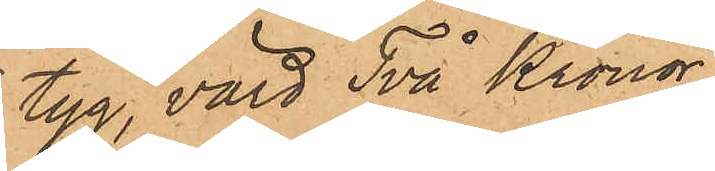tyg, värd Två Kronor.
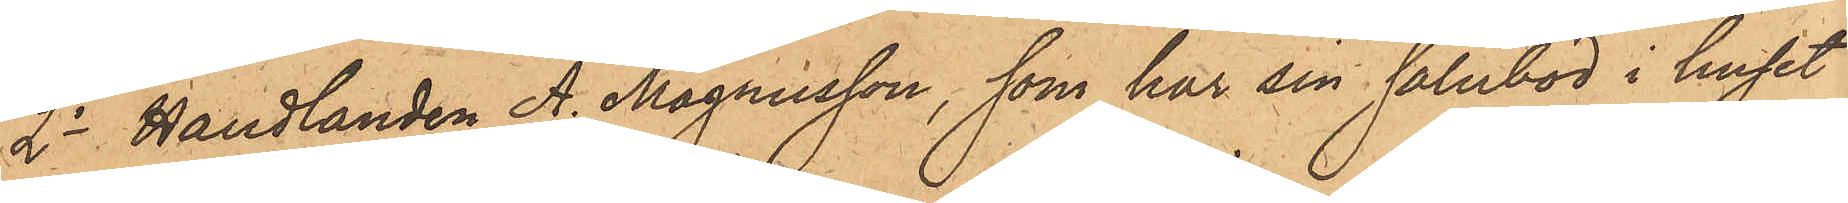2o Handlanden A. Magnusson, som har sin salubod i huset
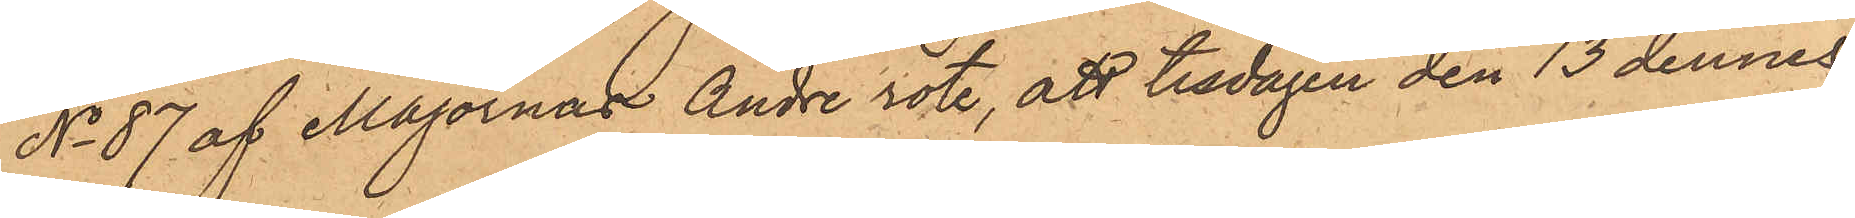No 87 af Majornas Andre rote, att tisdagen den 13 dennes
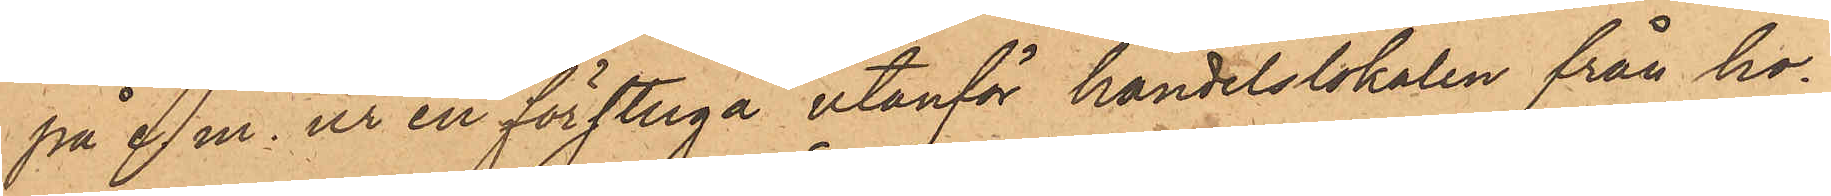på e. m. ur en förstuga utanför handelslokalen från ho¬
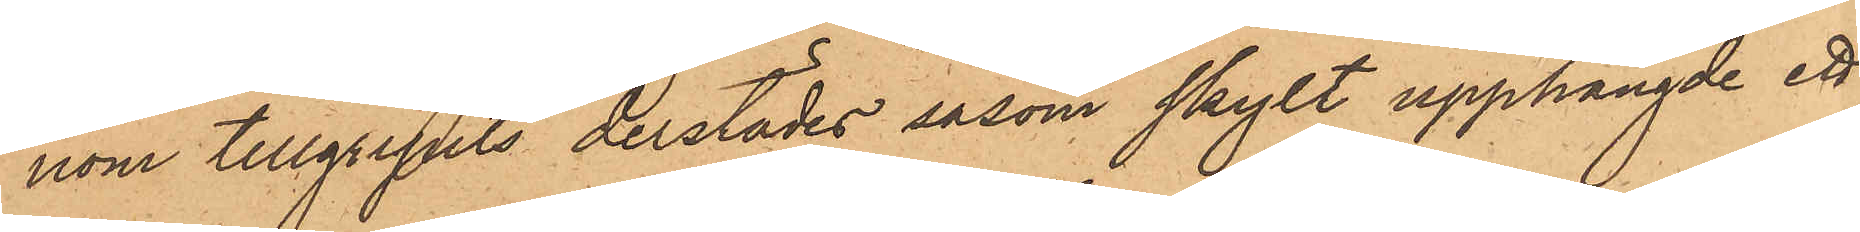nom tillgripits derstädes såsom skylt upphängde ett
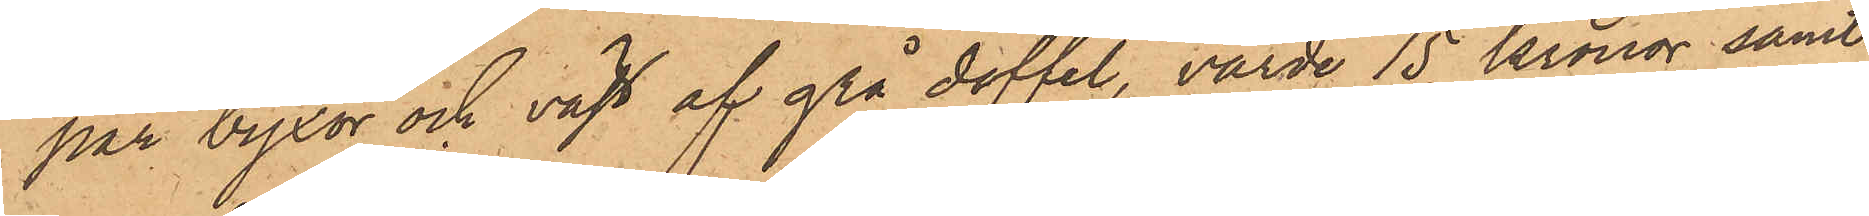par byxor och väst af grå doffel, värde 15 kronor samt
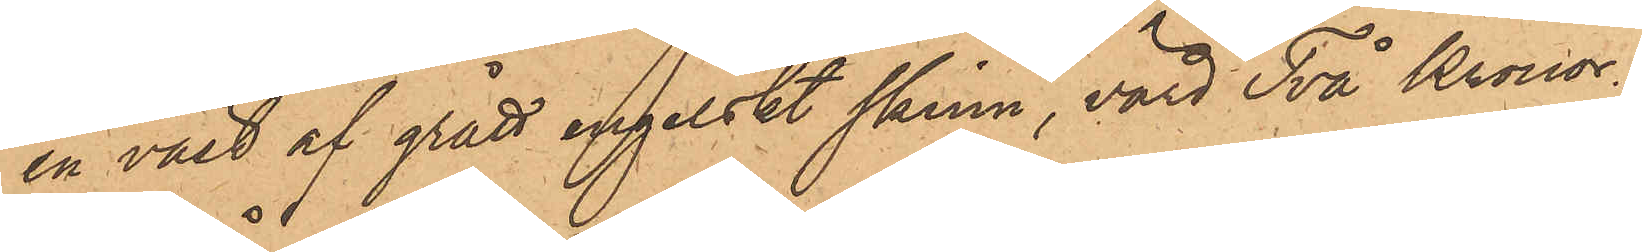en väst af grått engelskt skinn, värd Två Kronor.
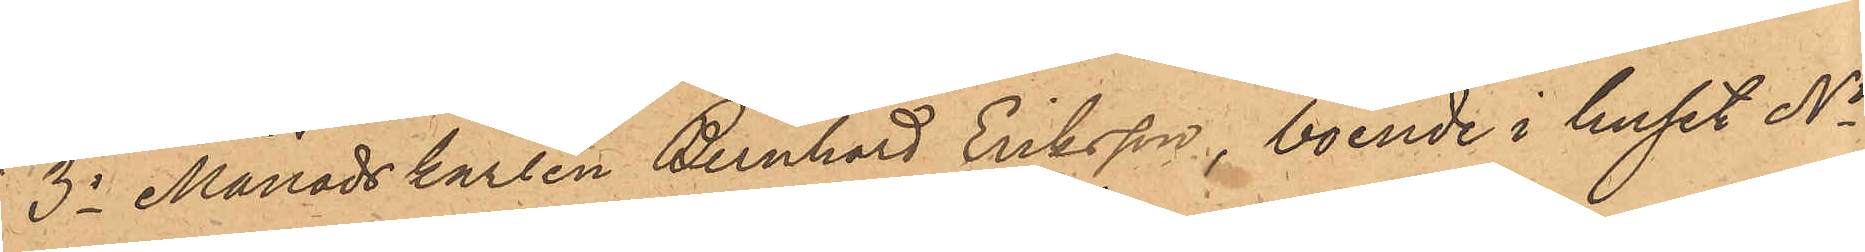3o Månadskarlen Bernhard Eriksson, boende i huset No
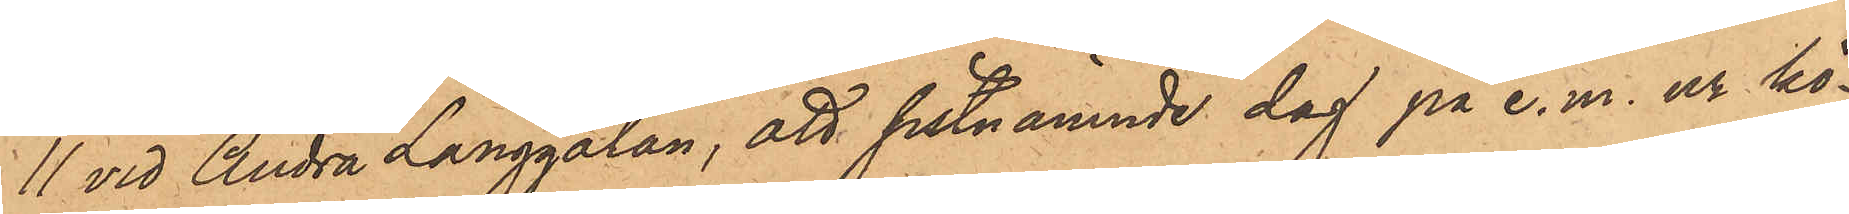11 vid Andra Långgatan, att sistnämnde dag på e. m. ur kö¬
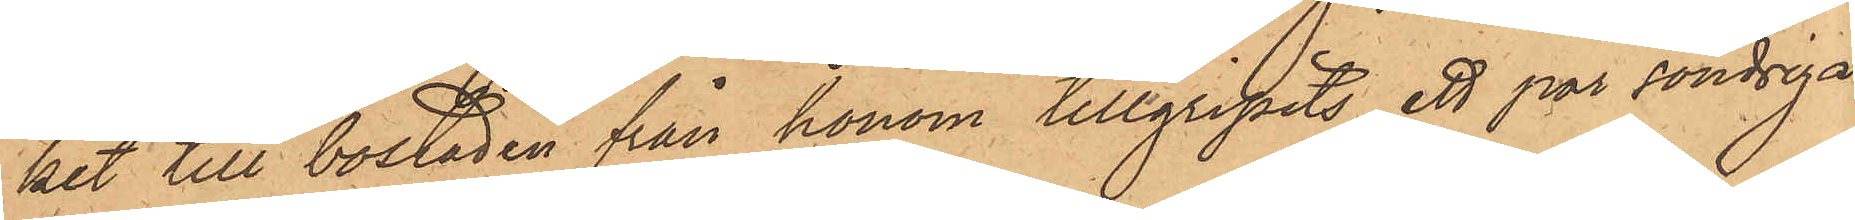ket till bostaden från honom tillgripits ett par söndriga
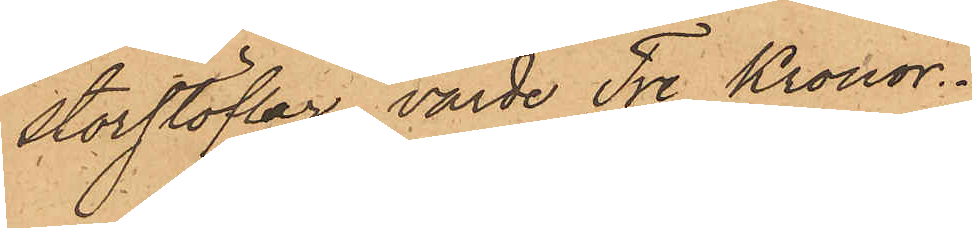storstöflar, värde Tre Kronor.
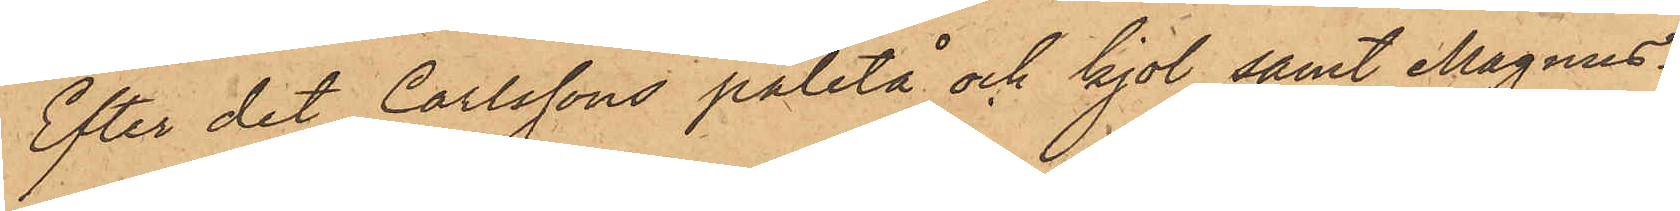Efter det Carlssons paletå och kjol, samt Magnus¬
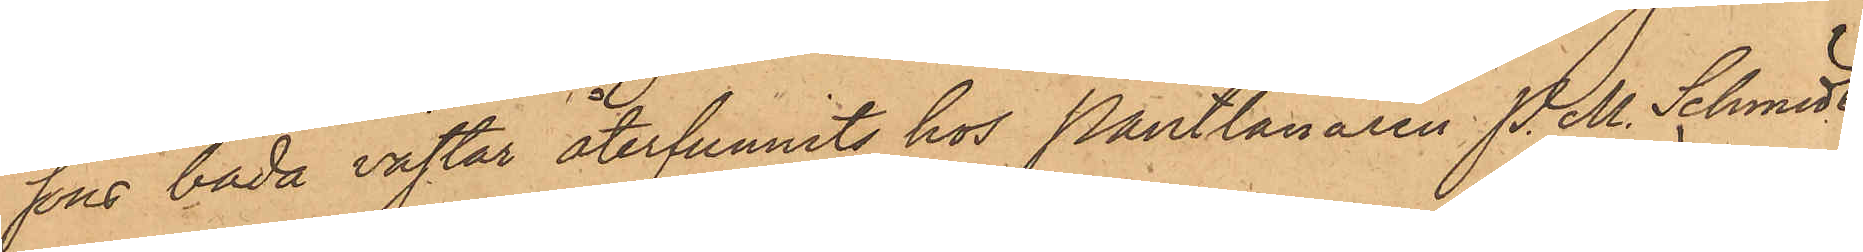sons båda västar återfunnits hos Pantlånaren P. M. Schmidt
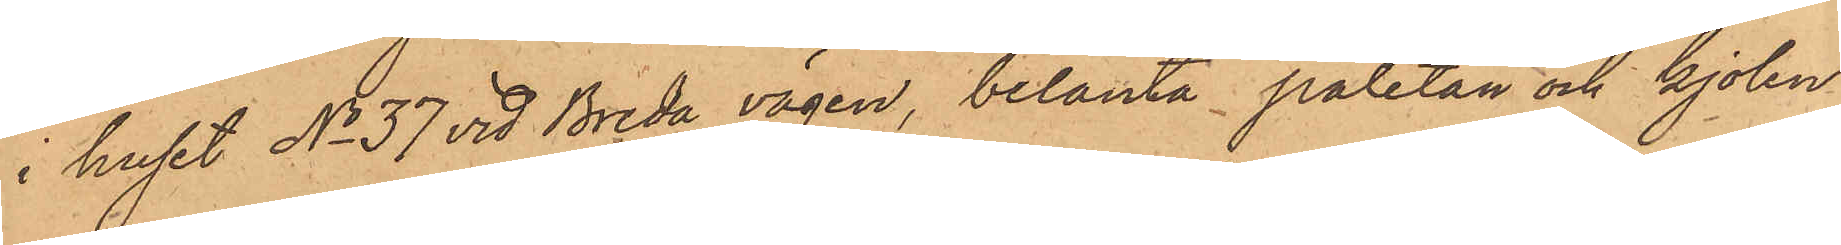i huset No 37 vid Breda vägen, belånta paletån och kjolen
